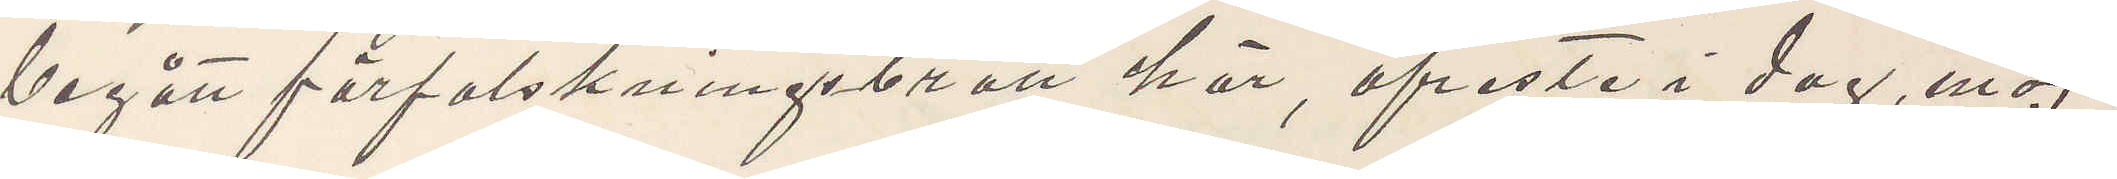begått förfalskningsbrott här, afreste i dag, möj¬
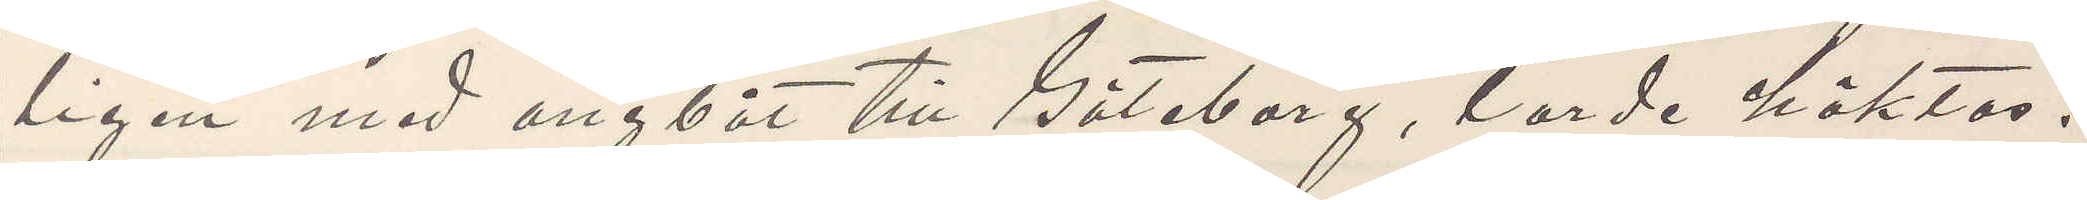ligen med ångbåt till Göteborg, torde häktas.
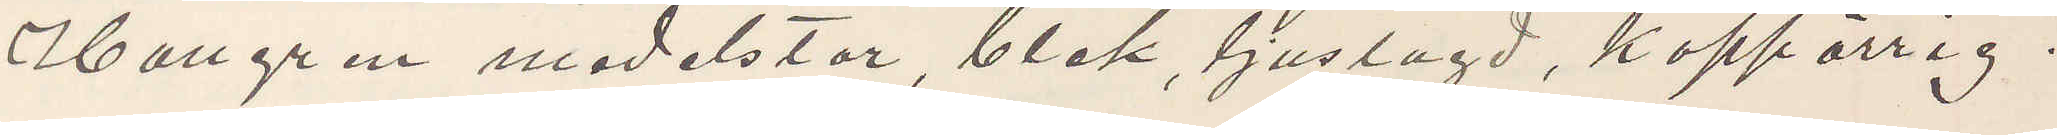Hallgren medelstor, blek, ljuslagd, koppärrig;
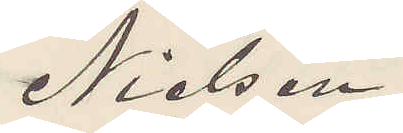Nielsen
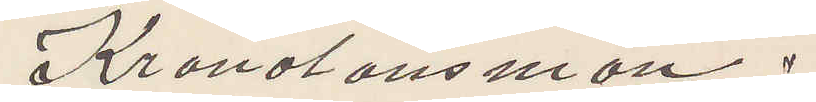Kronolänsman.
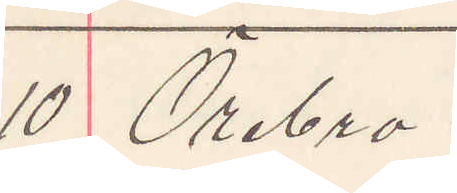10 Örebro
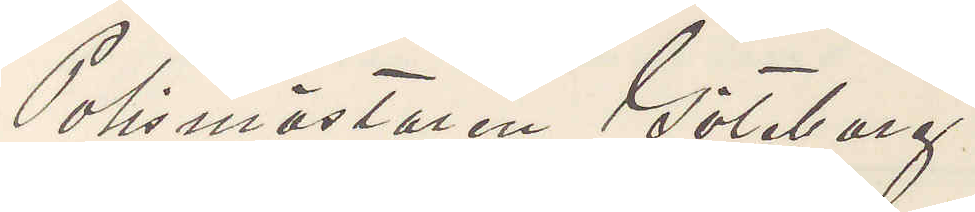Polsmästaren Göteborg
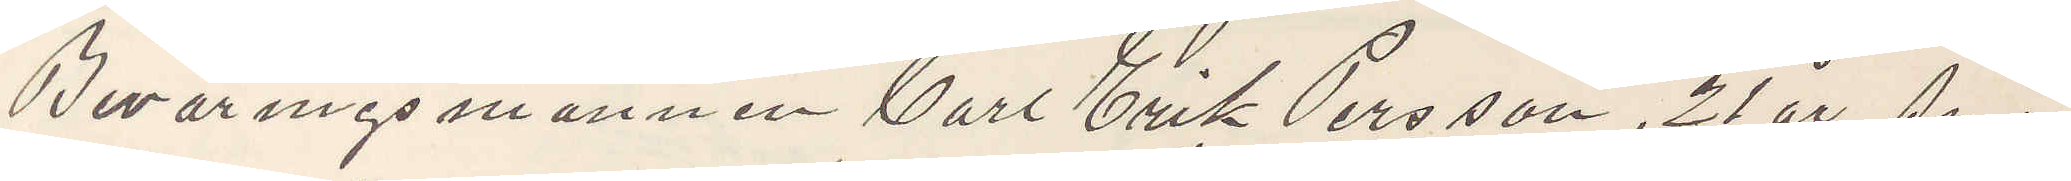Beväringsmannen Carl Erik Persson, 21 år, små
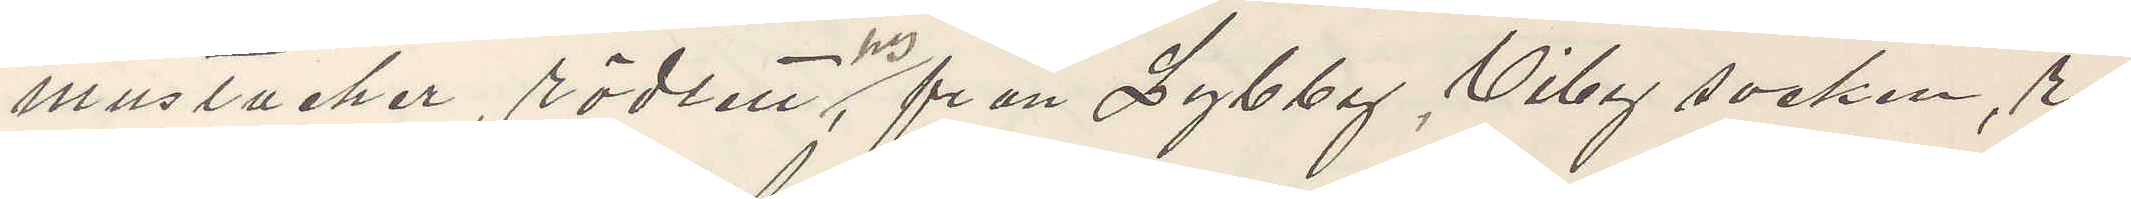mustacher, rödlett hy, från Lybby, Viby socken, re¬
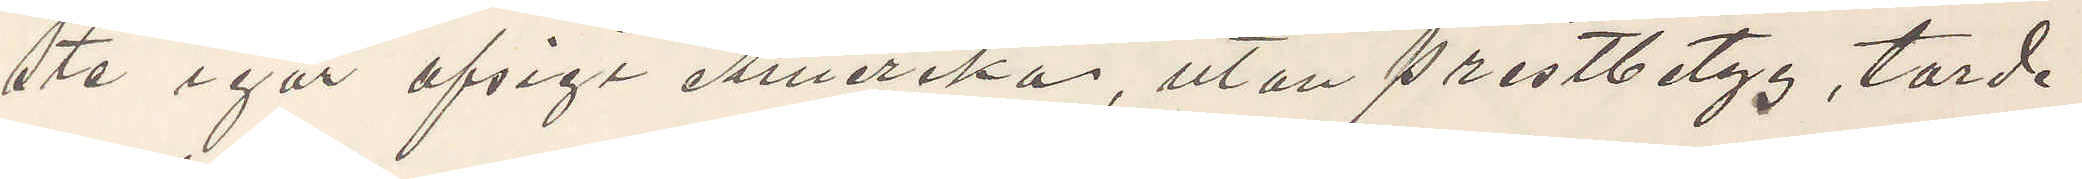ste igår afsigt Amerika, utan prestbetyg, torde
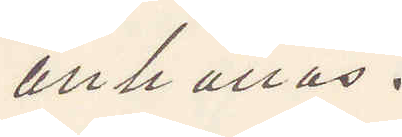anhållas.
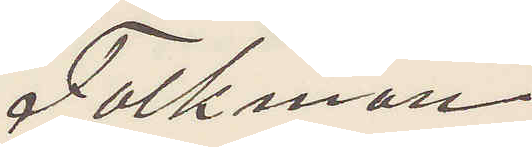Falkman
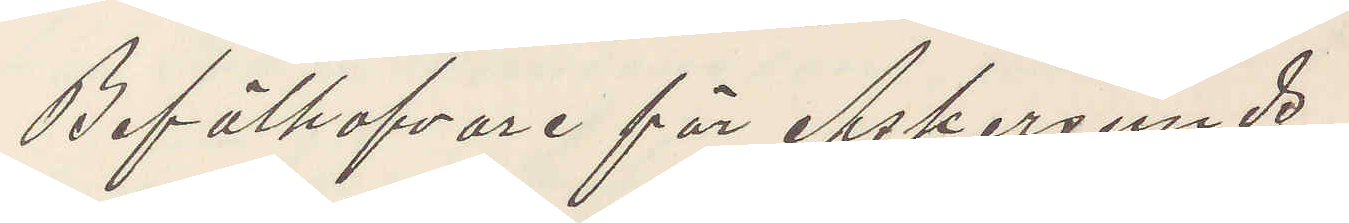Befälhafvare för Askersunds
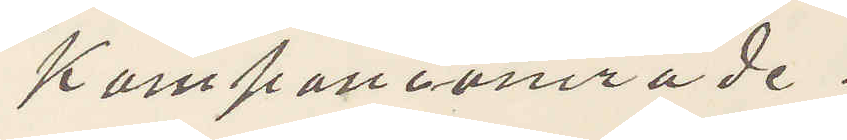kompaniomåde.
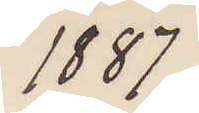1887
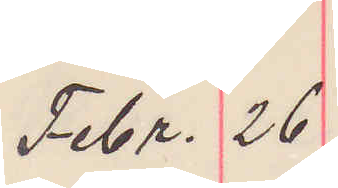Febr. 26
